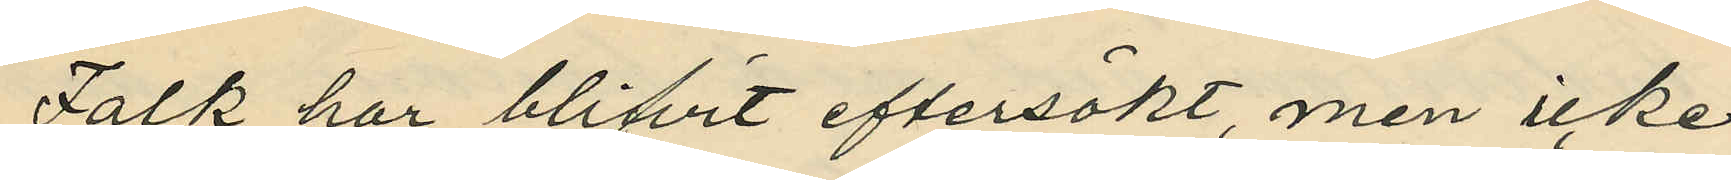Falk har blifvit eftersökt, men icke
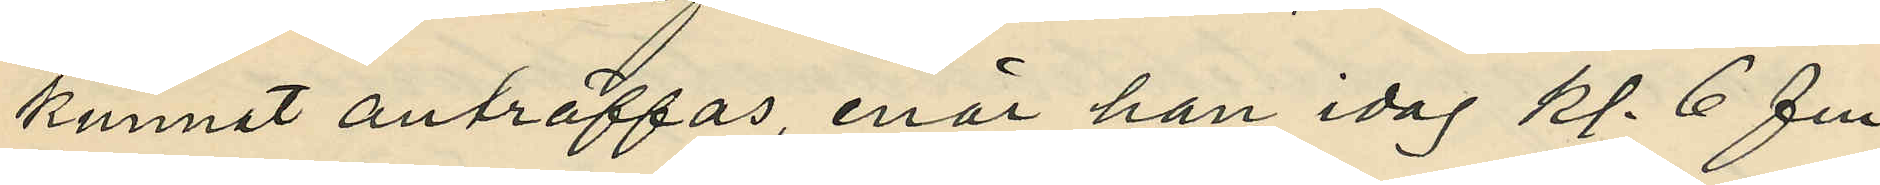kunnat anträffas, enär han idag kl. 6 fm.
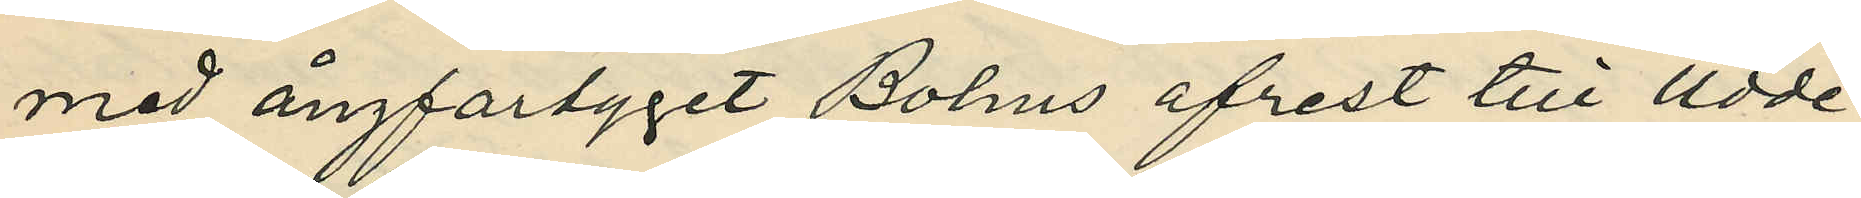med ångfartyget Bohus afrest till Udde¬
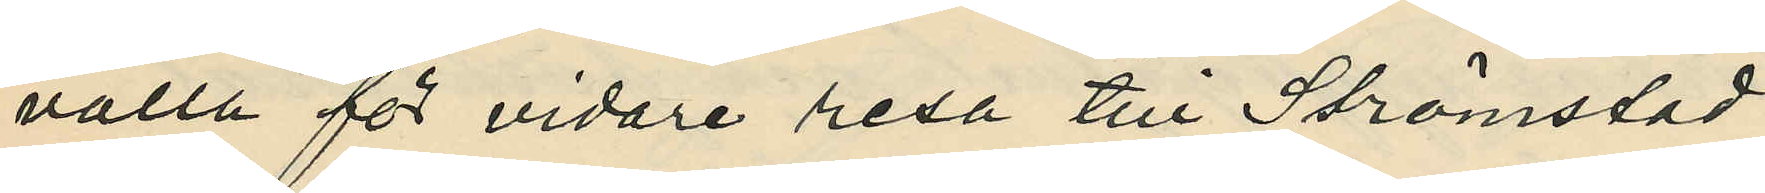valla för vidare resa till Strömstad.
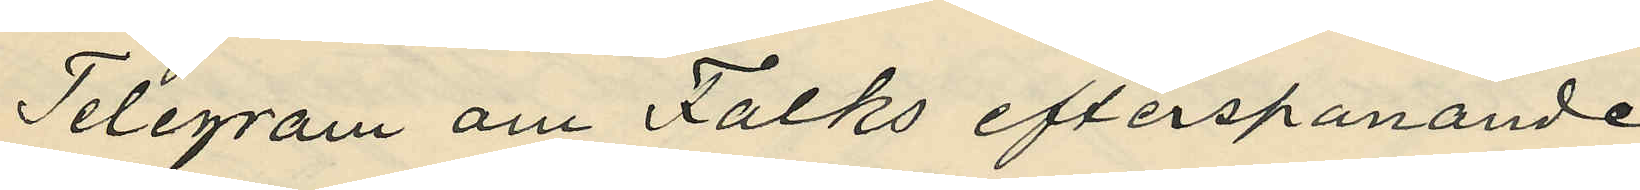Telegram om Falks efterspanande
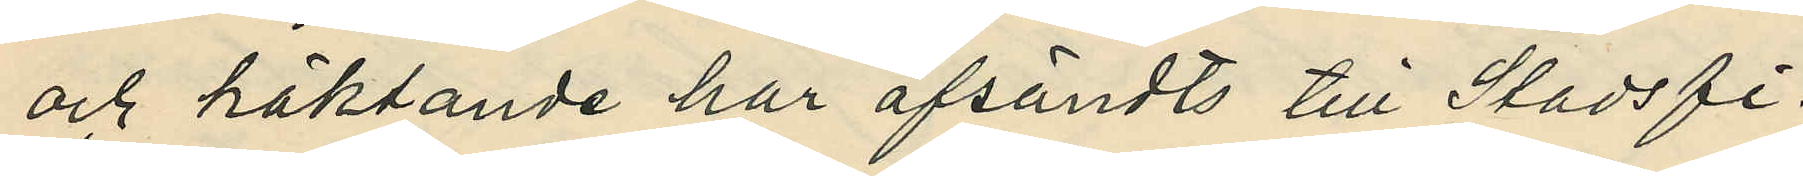och häktande har afsändts till Stadsfi¬
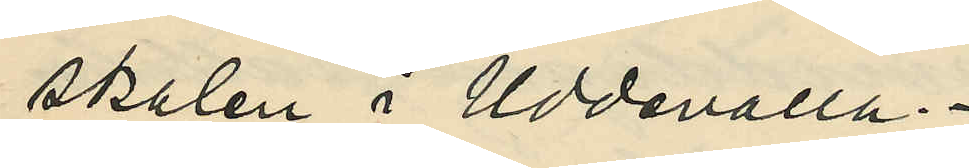skalen i Uddevalla.
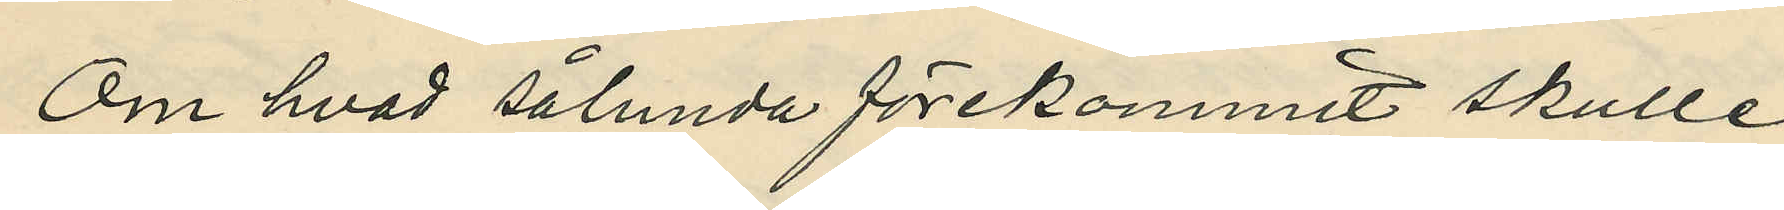Om hvad sålunda förekommit skulle
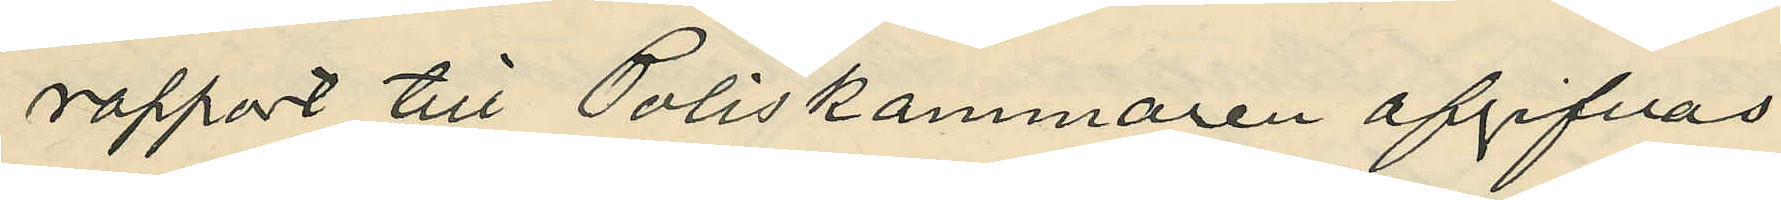rapport till Poliskammaren afgifvas.
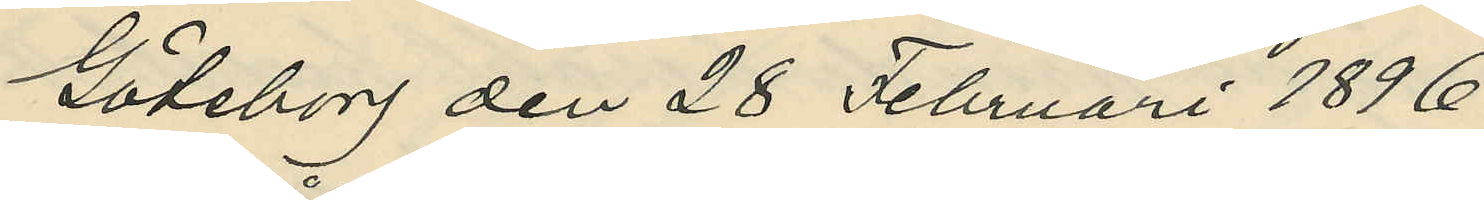Göteborg den 28 Februari 1896.
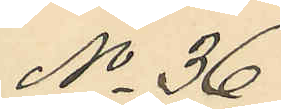No 36.
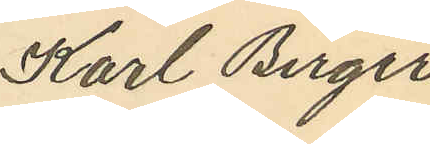Karl Birger
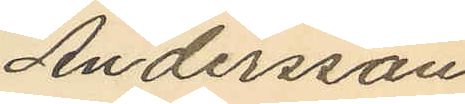Andersson
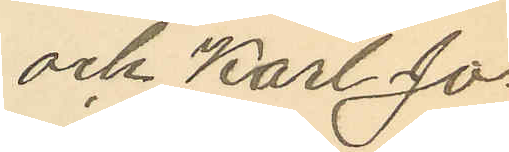och Karl Jo¬
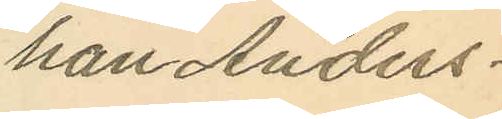han Anders¬
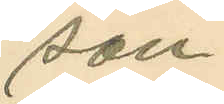son.
